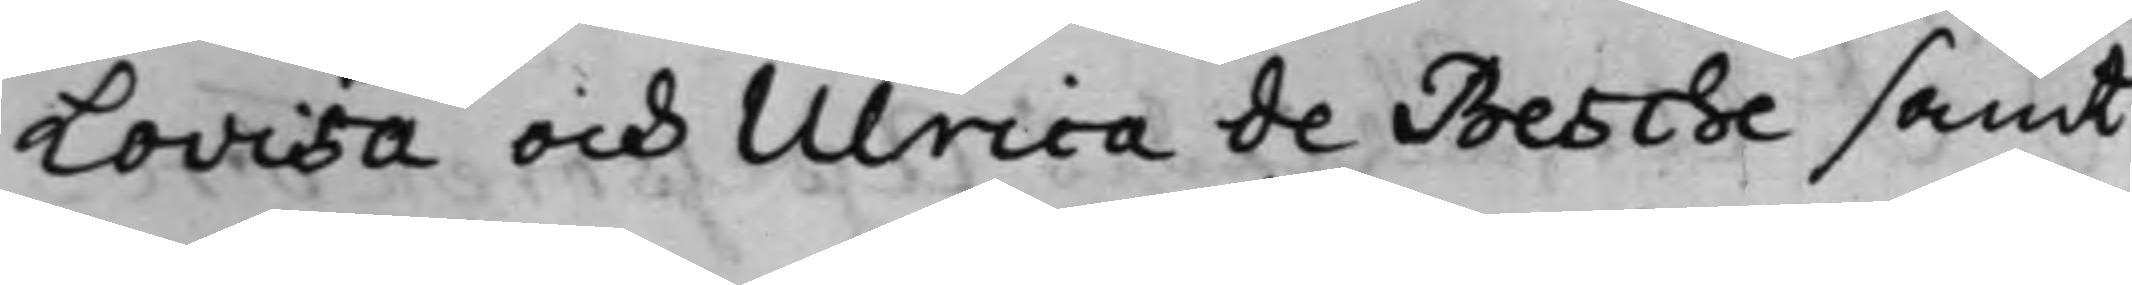Lovisa och Ulrica de Besche samt
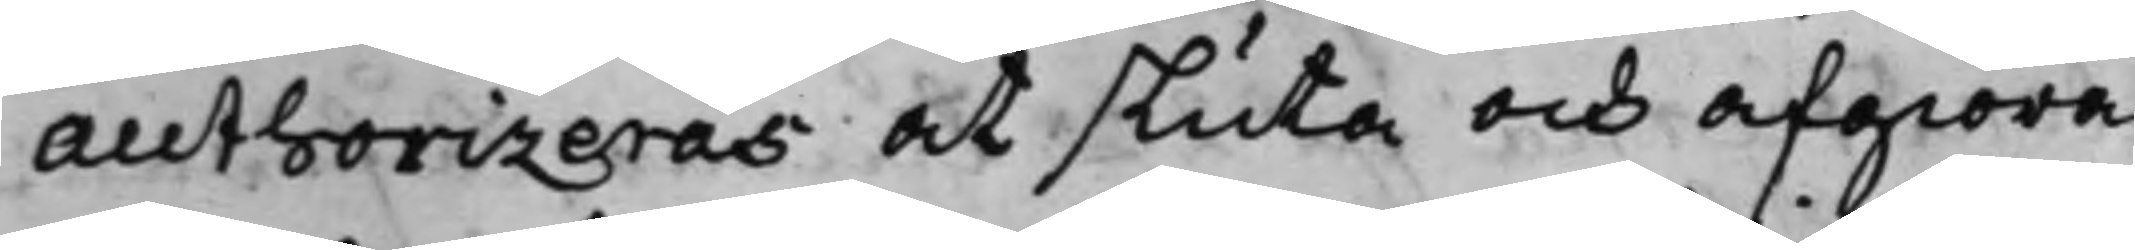Authorizeras at sluta och afgiöra
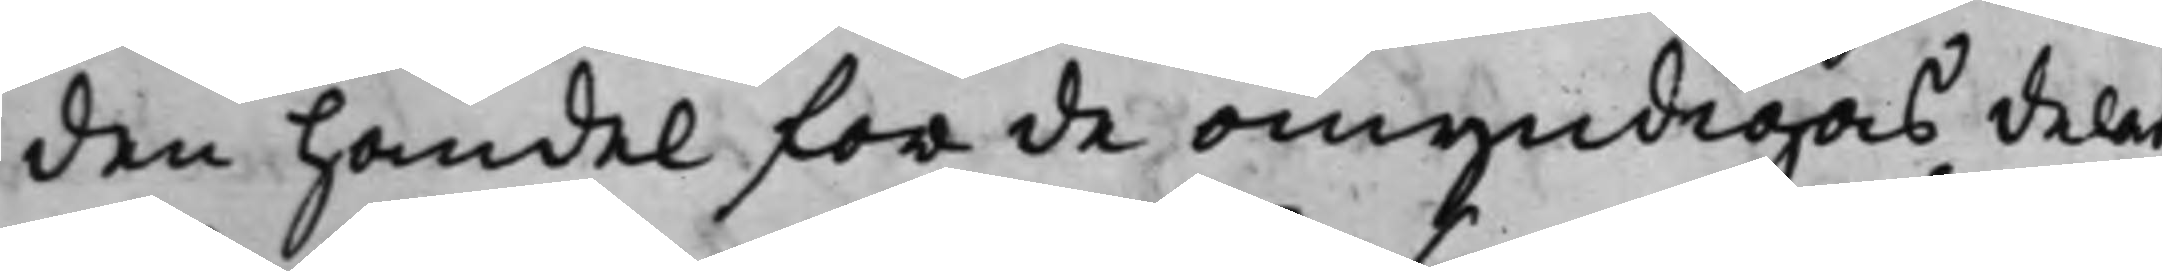den handel för de omyndigas delar
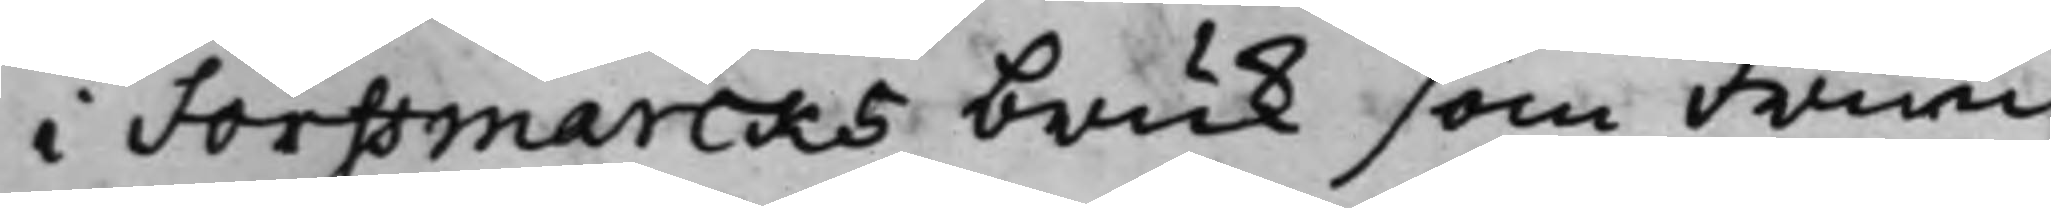i Forssmarcks bruk som Frun
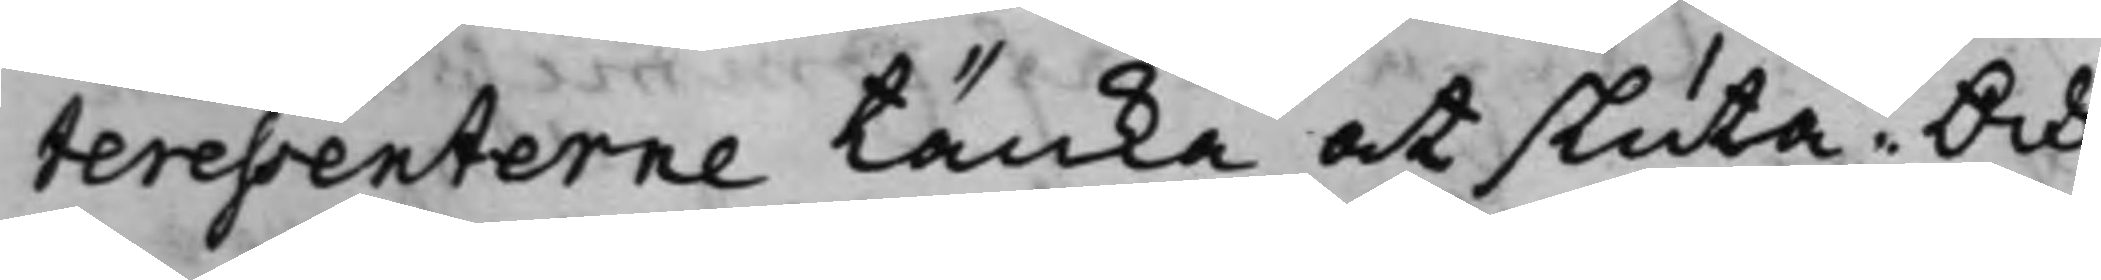teressenterne tänka at sluta. Och
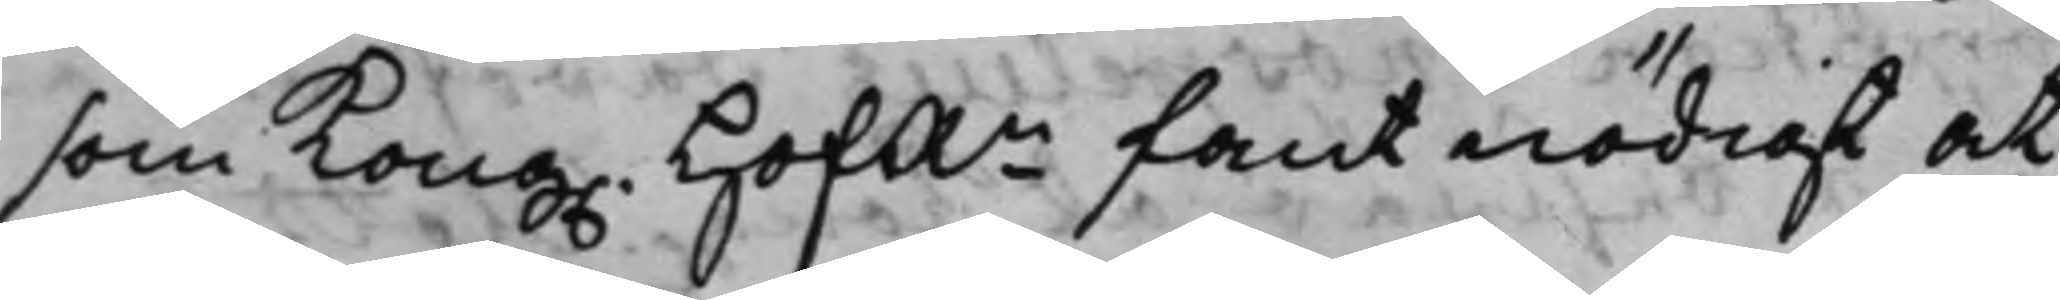som Kong. HofRn fant nödigt at
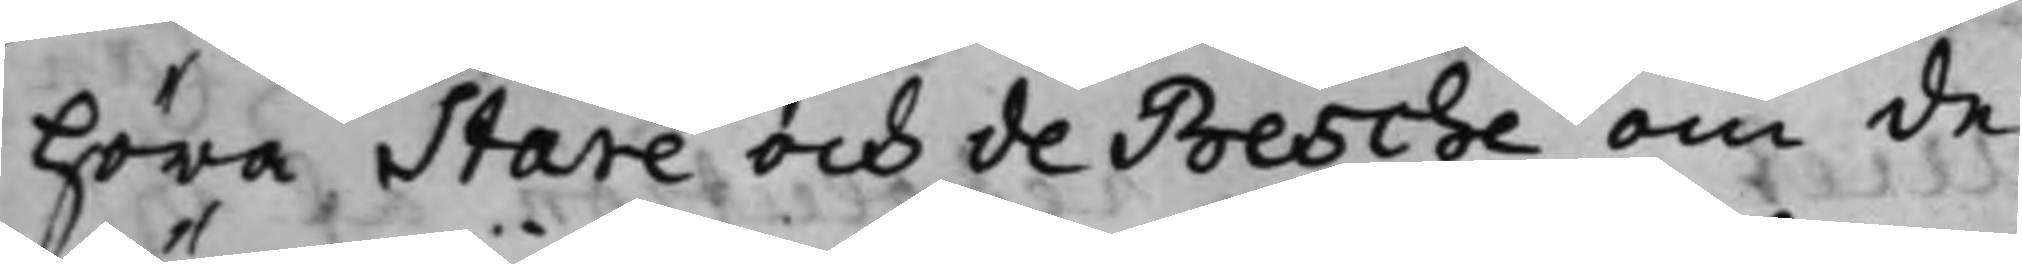höra Stare och de Besche om de
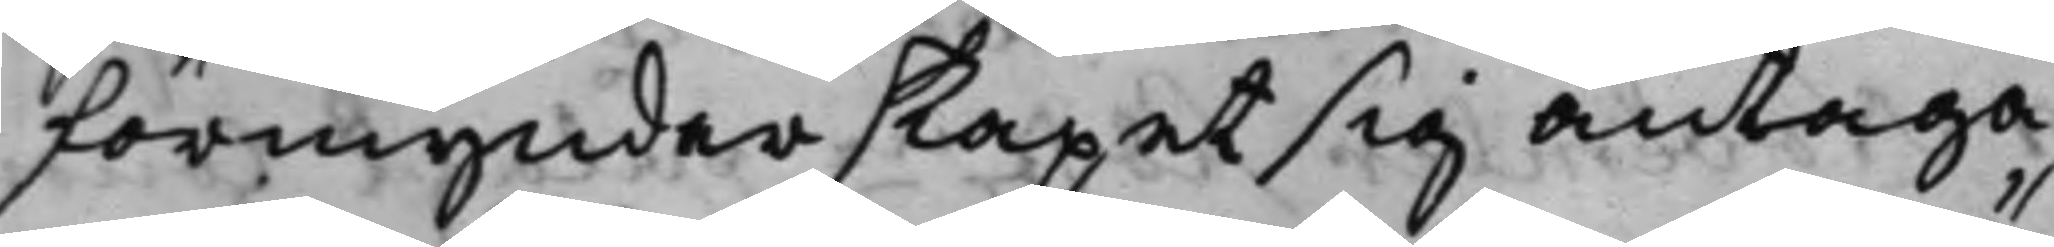förmyndarskapet sig antaga
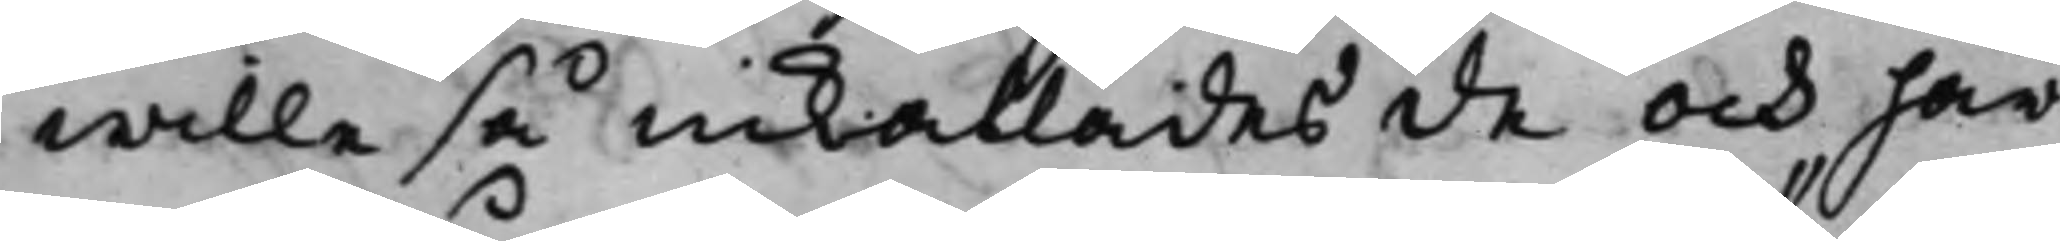wille så inkallades de och här¬
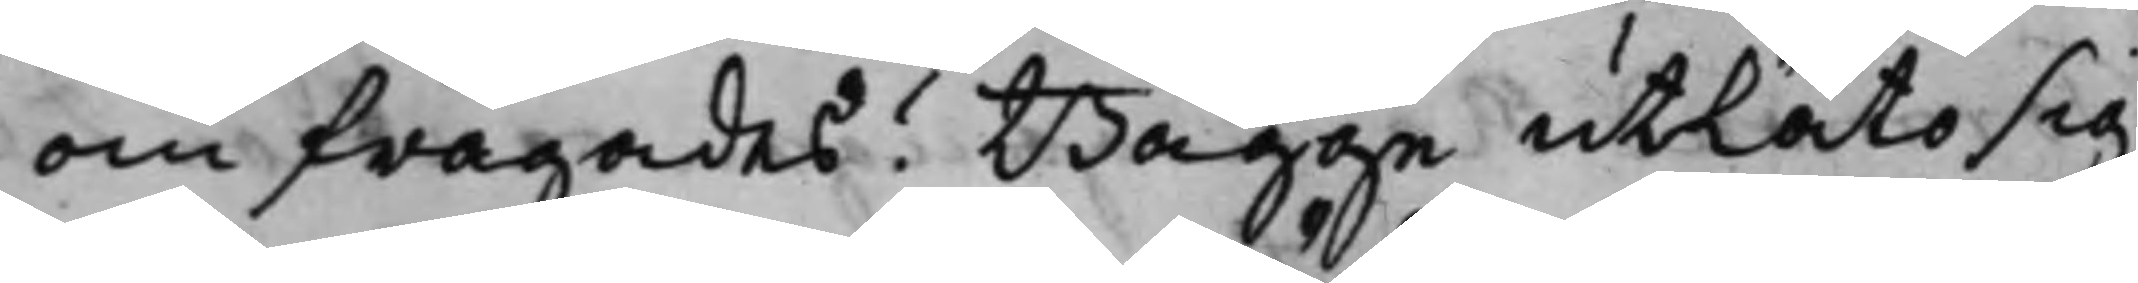om frågades? Bägge utlåto sig
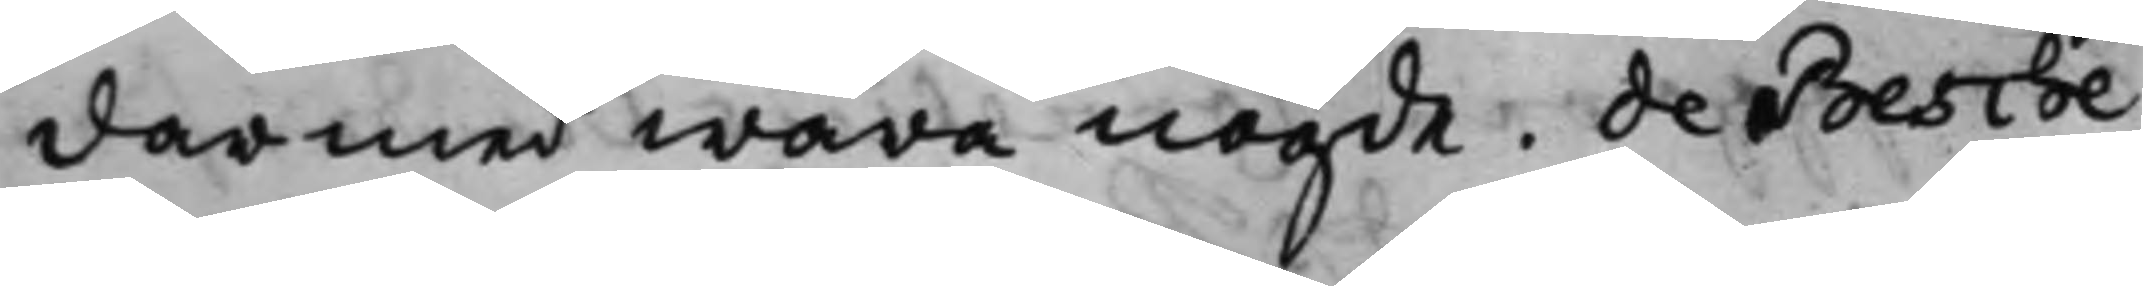därmed wara nögde. de Besche
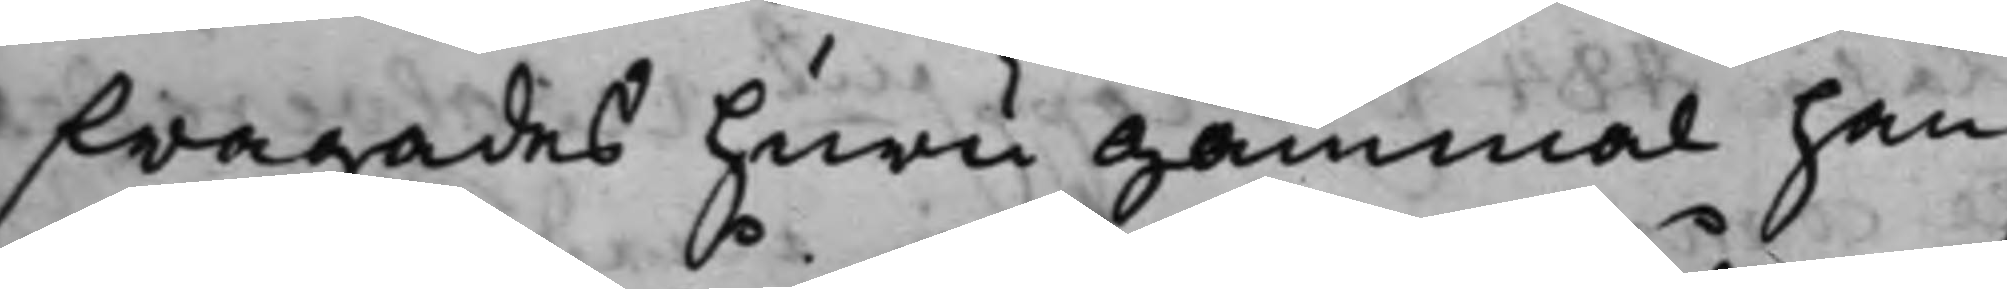frågades huru gammal han
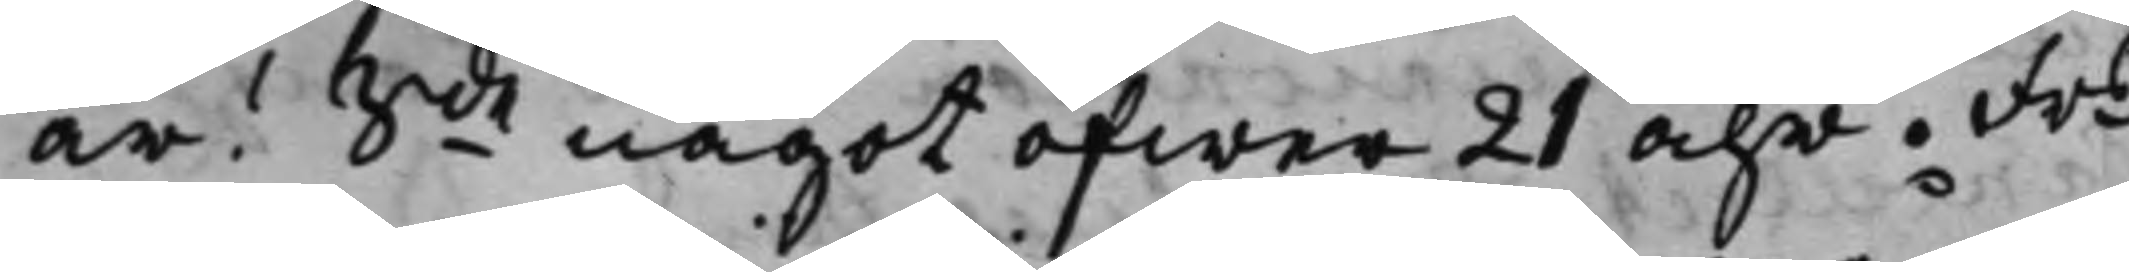är? Sde något öfwer 21 åhr. Frs
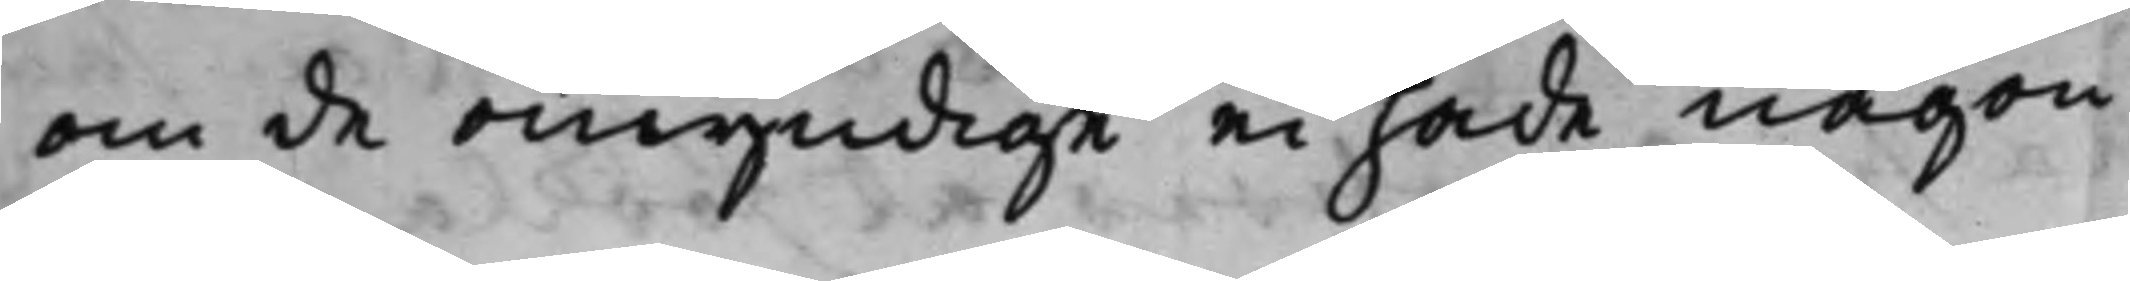om de omyndige ei hade någon
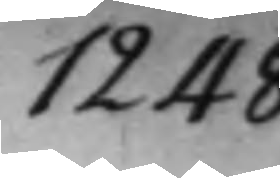1248
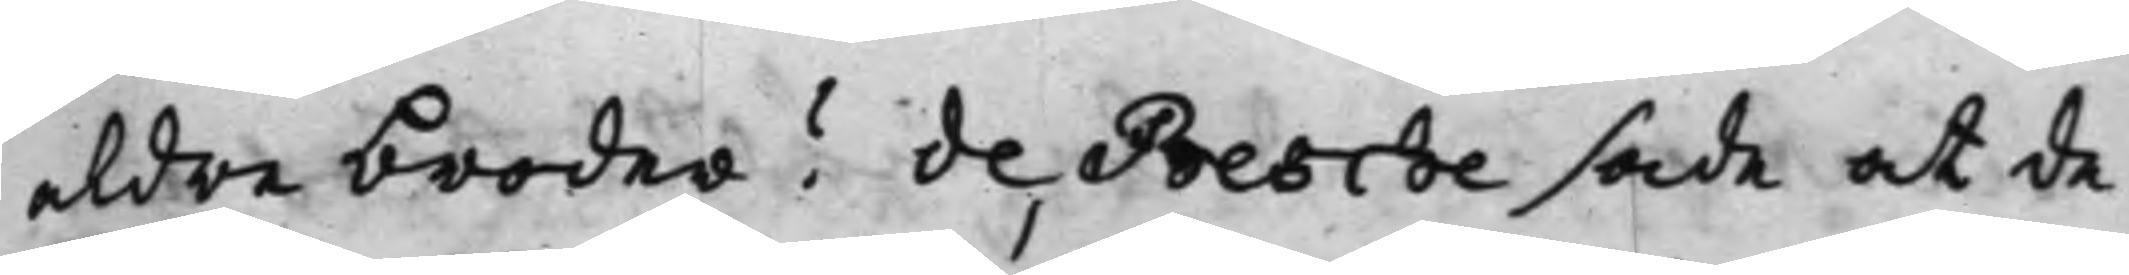aldre broder? de Besche sade at de
